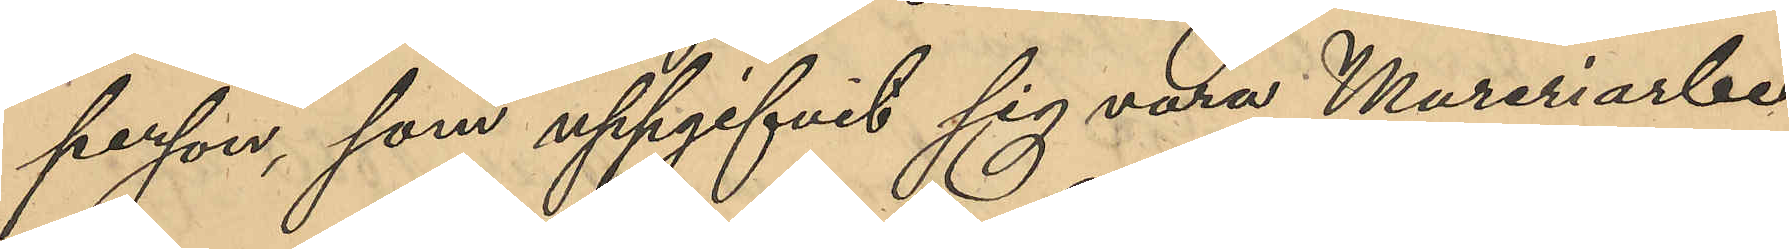person, som uppgifvit sig vara Mureriarbe¬
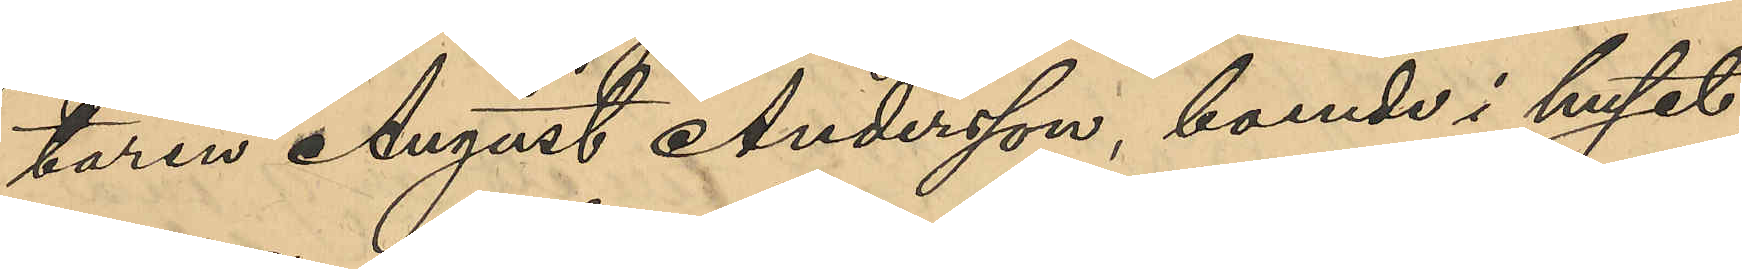taren August Andersson, boende i huset
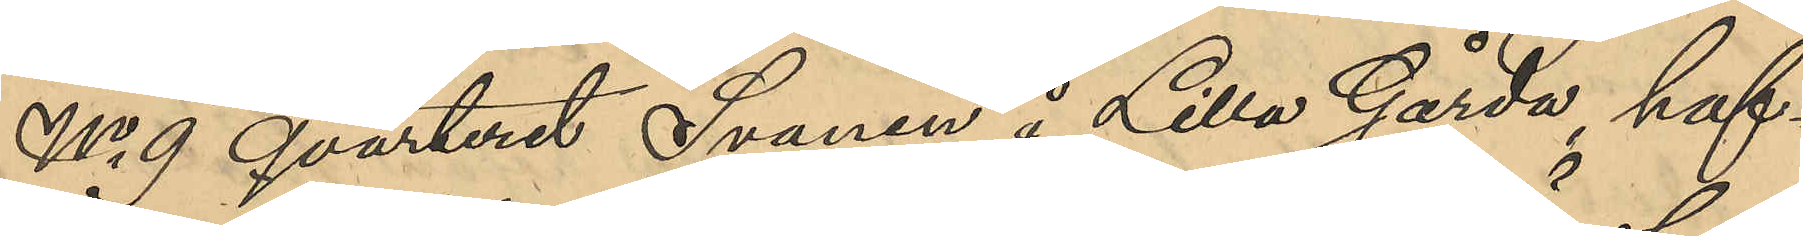No 9 qvarteret Svanen å Lilla Gårda, haf¬
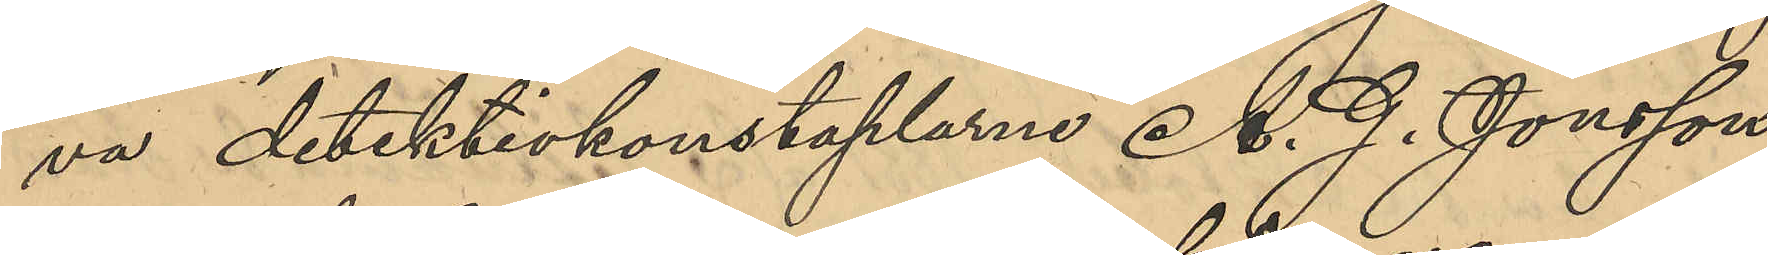va detektivkonstaplarne A. G. Jönsson
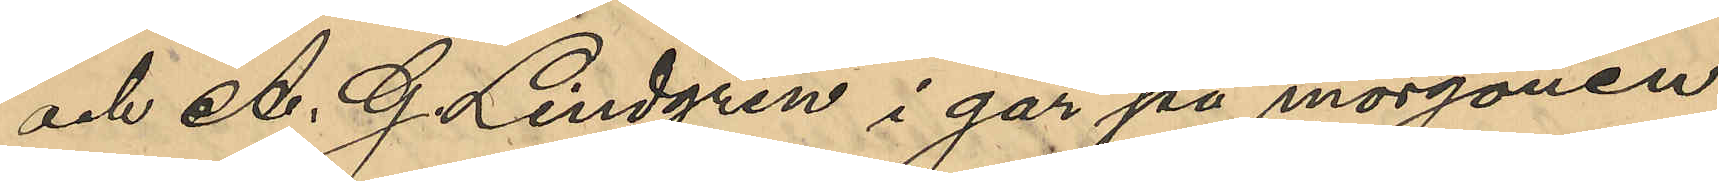och A. G. LIndgren i går på morgonen
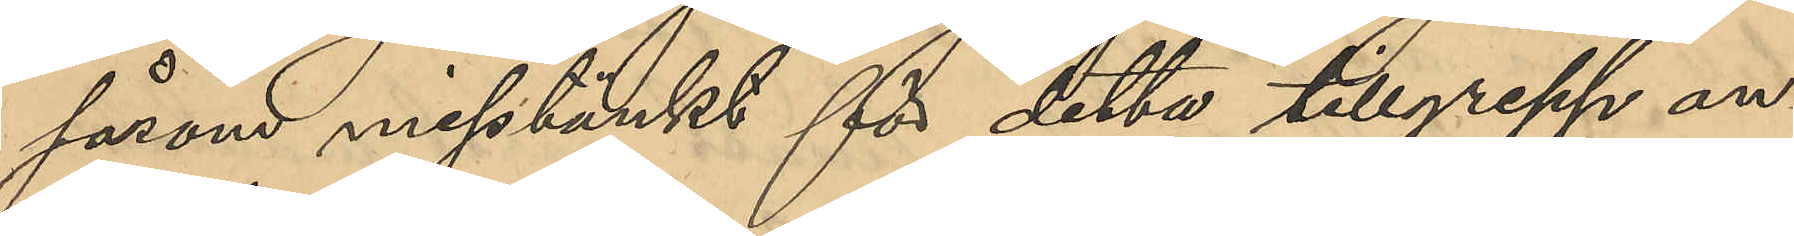såsom misstänkt för detta tillgrepp an¬
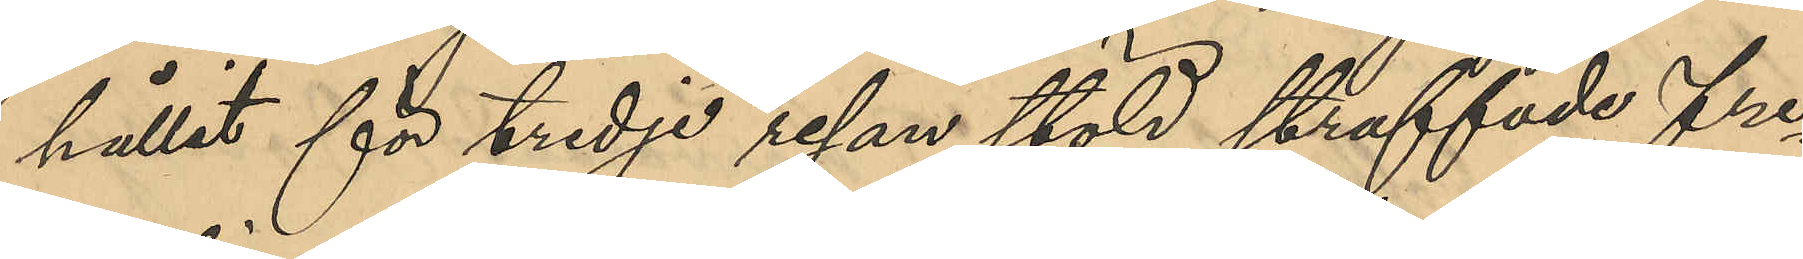hållit för tredje resan stöld straffade fre
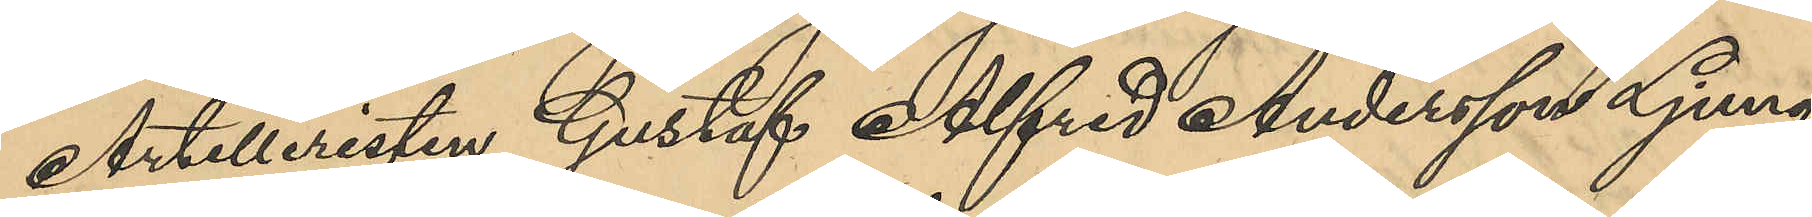Artilleristen Gustaf Alfred Andersson Ljung¬
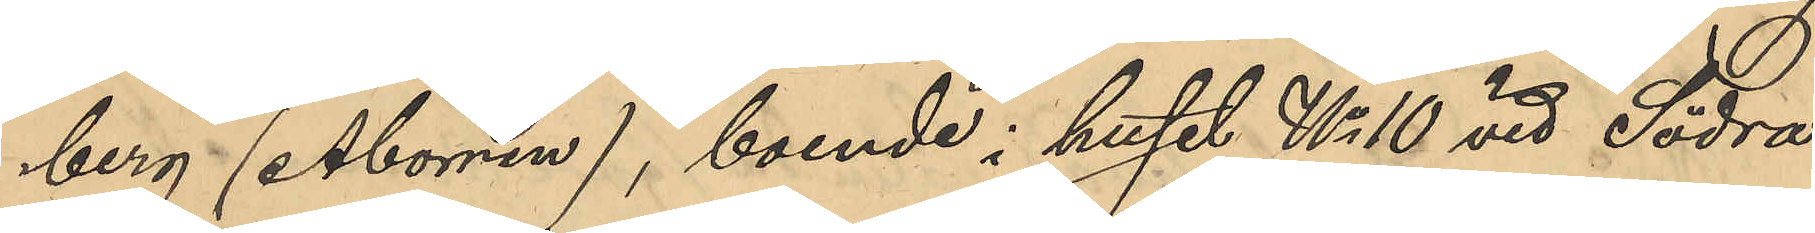berg (Aborren), boende i huset No 10 vid Södra
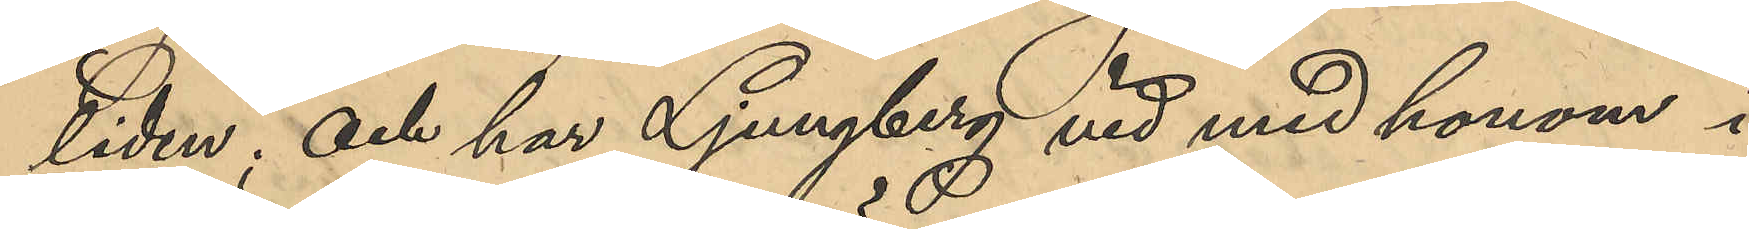liden; och har Ljungberg vid med honom i
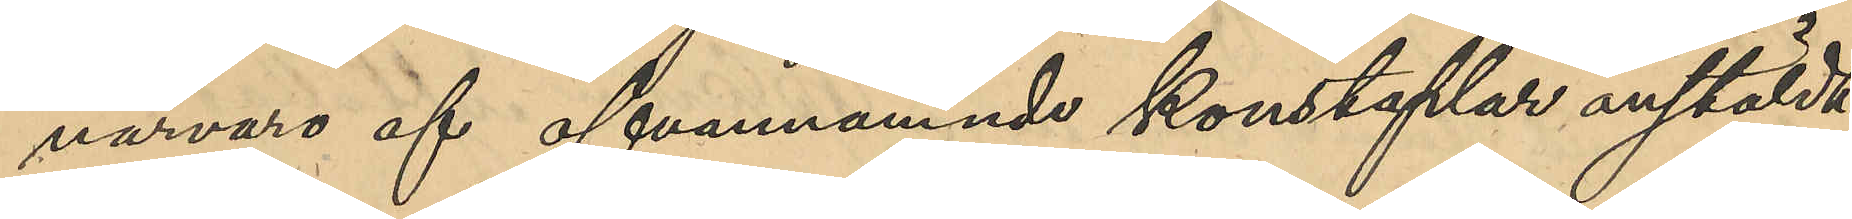närvaro af ofvannämnde konstaplar anstäldt
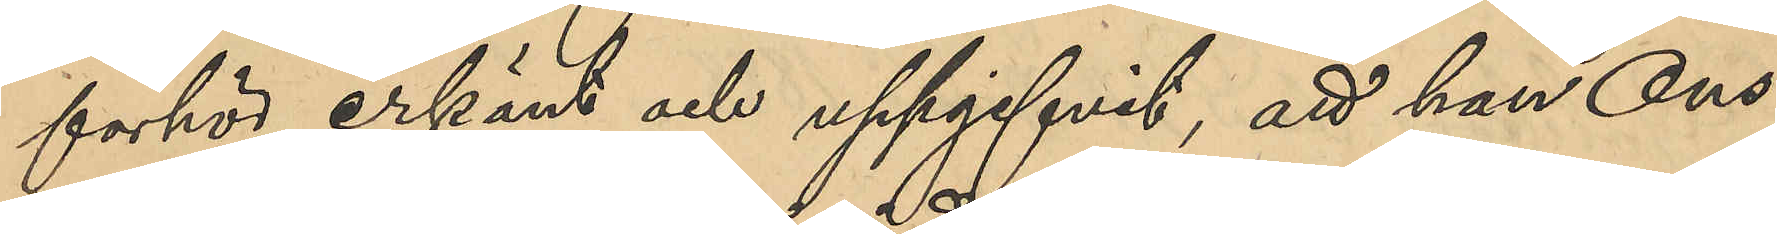förhör erkänt och uppgifvit, att han Ons¬
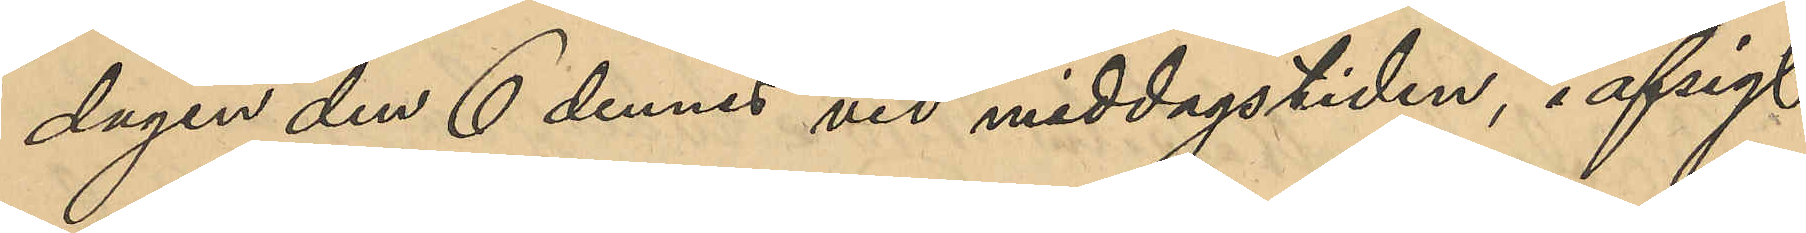dagen den 6 dennes vid middagstiden, i afsigt
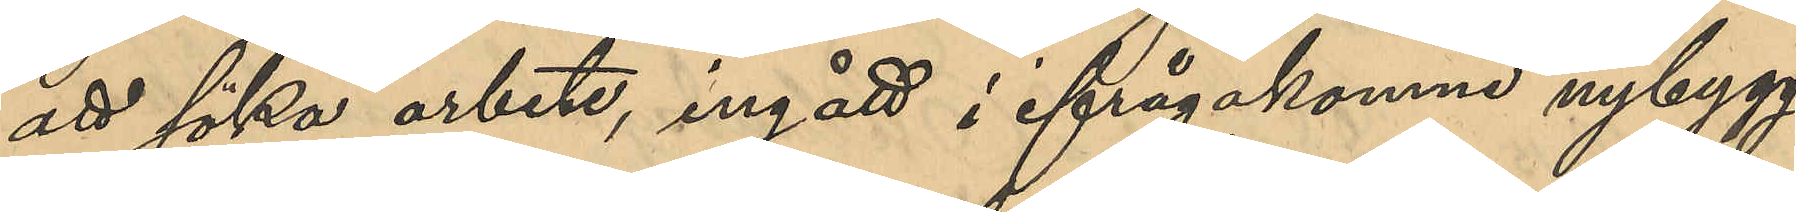att söka arbete, ingått i ifrågakomne nybygg¬
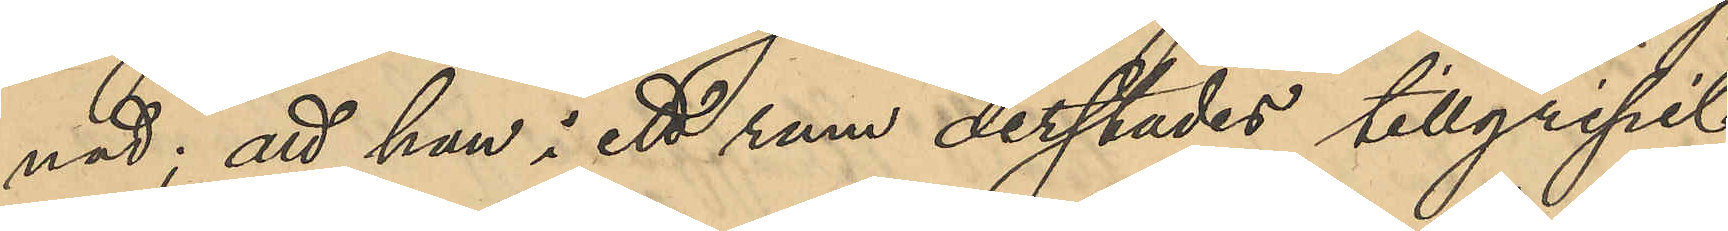nad; att han i ett rum derstädes tillgripit
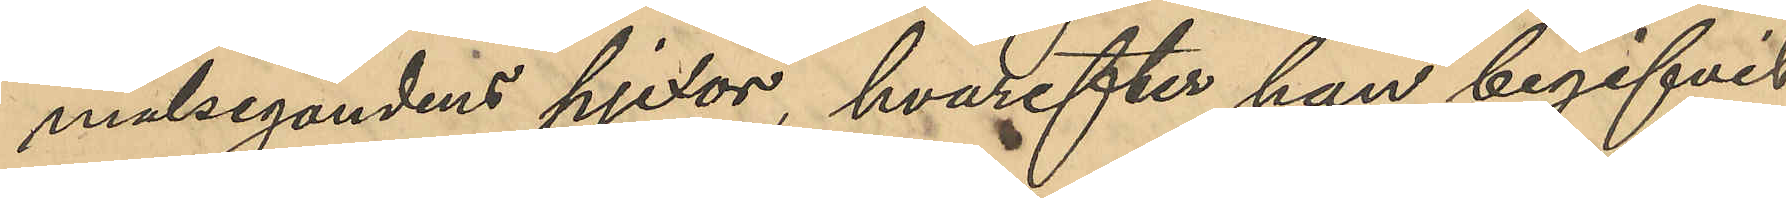målsegandens pjexor, hvarefter han begifvit
